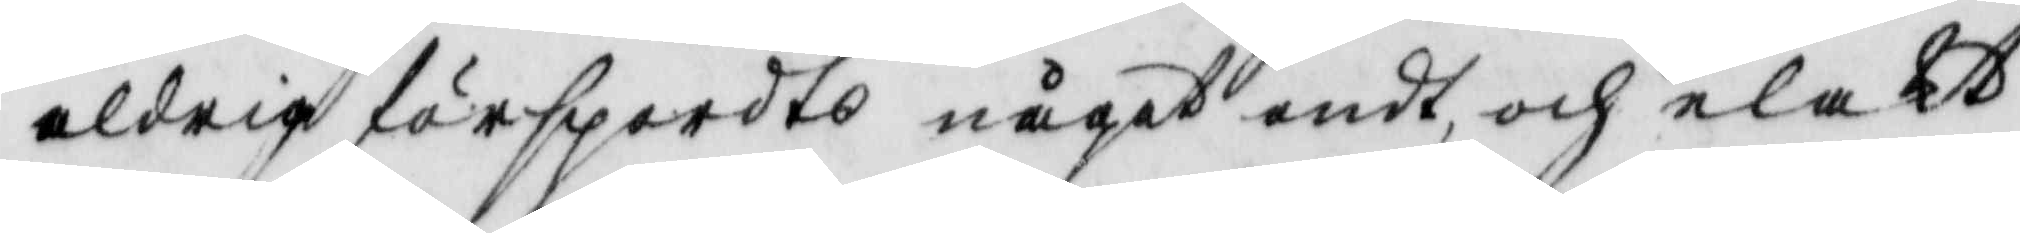aldrig förspordts något ondt och elakt
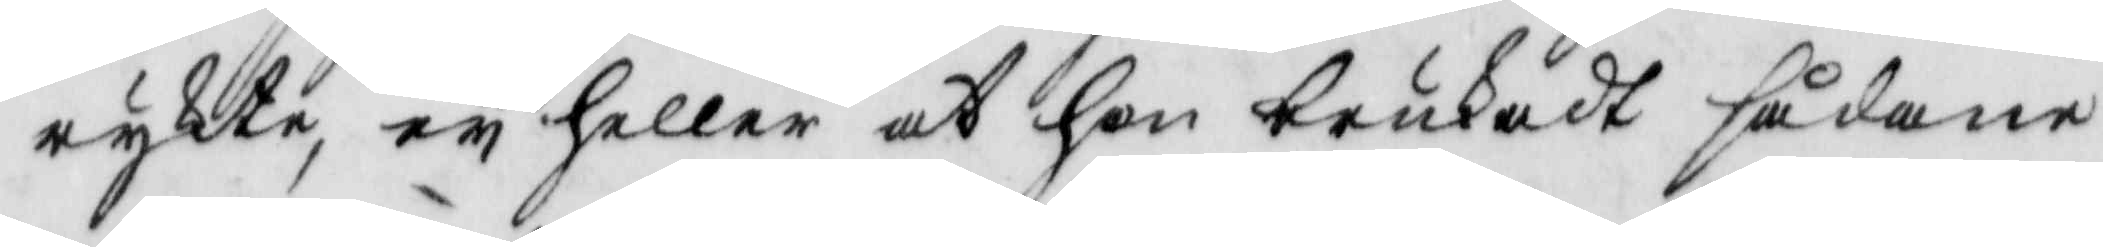rykte, ey heller at hon brukat sådane
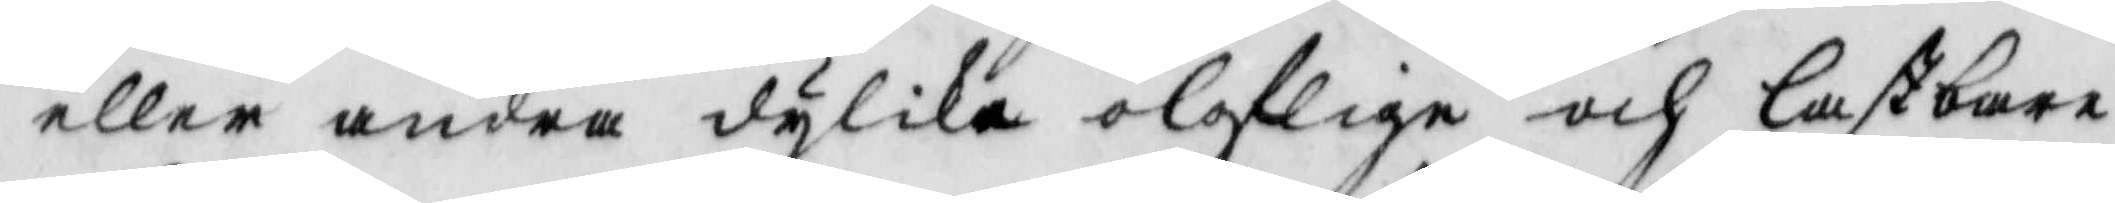eller andra dylika oloflige och lastbare
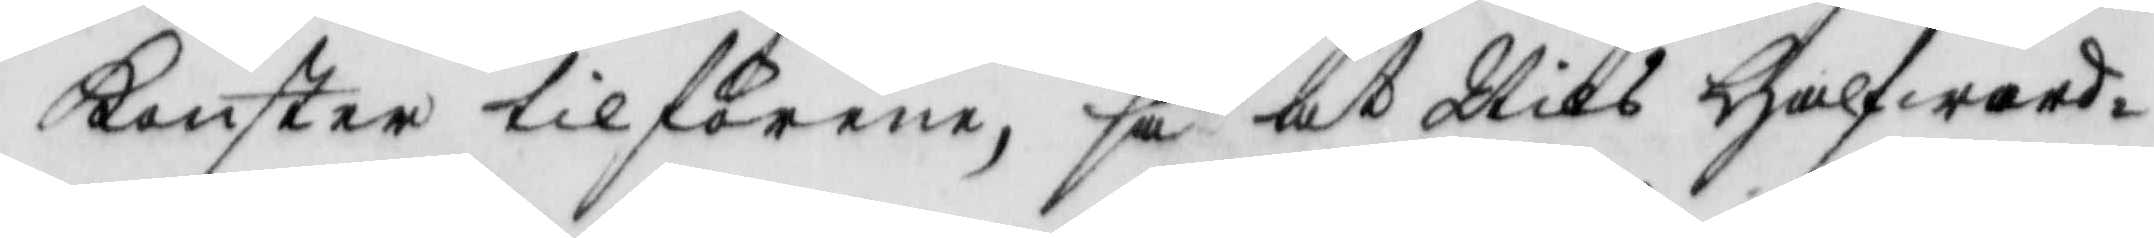konster tilförene, så at Nils Halfward¬
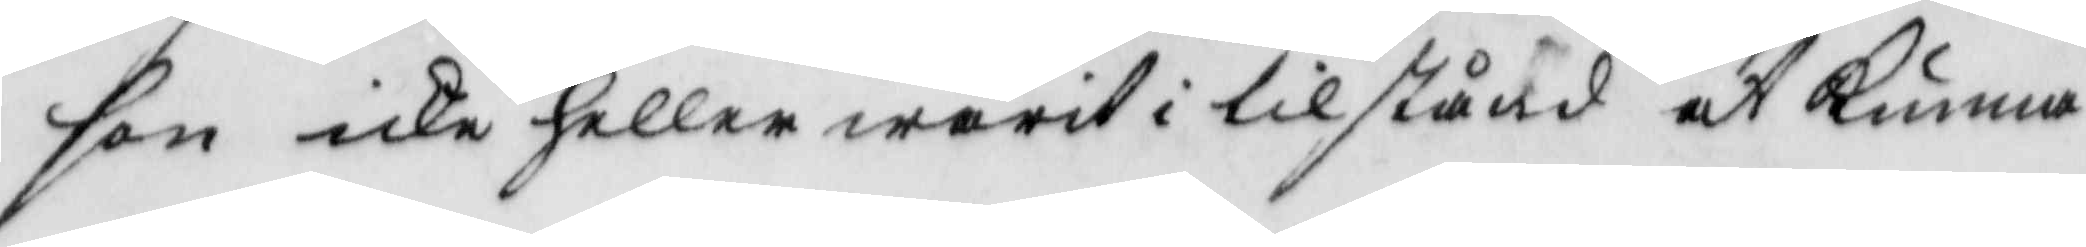son icke heller warit i tilstånd at kunna
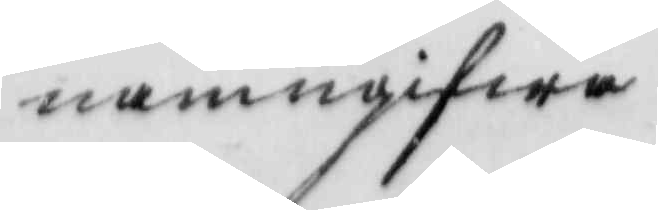namngifwa
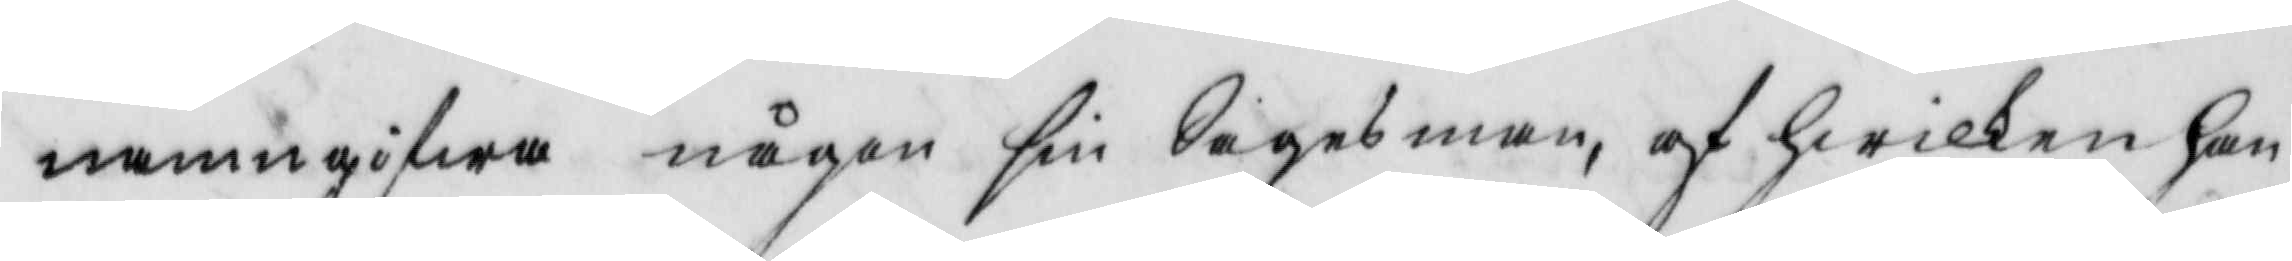namngifwa någon sin Sagesman, af hwilken han
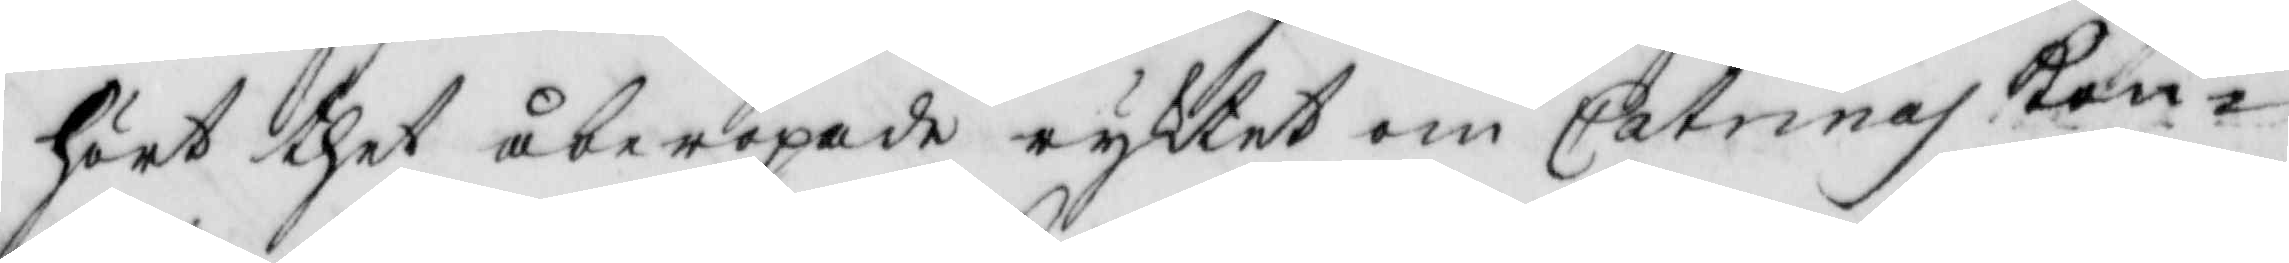hört thet åberopade ryktet om Catrinas Kon¬
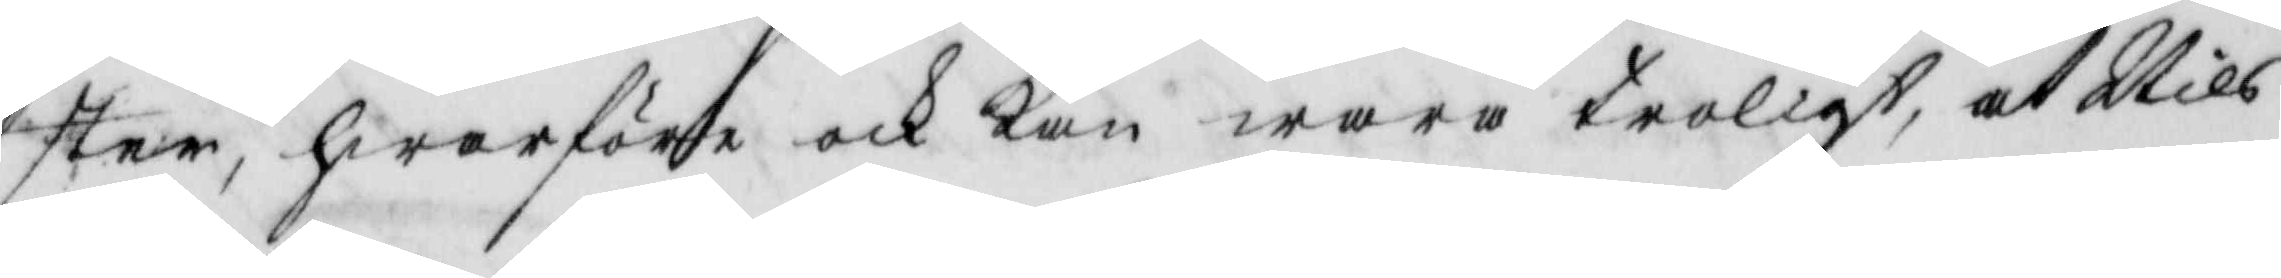ster, hwarföre ock kan wara troligt at Nils
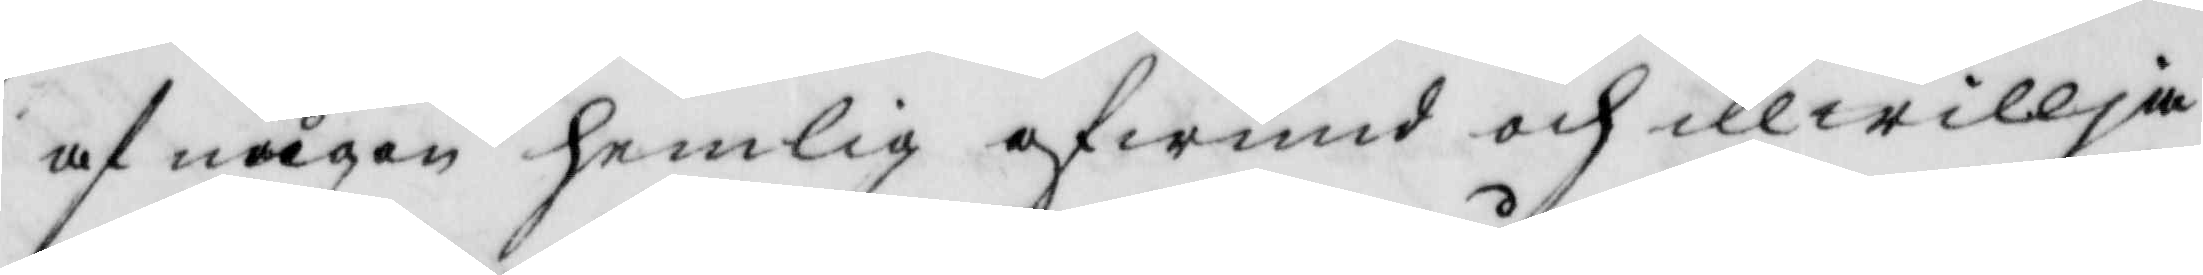af någon hemlig afwund och illwillja
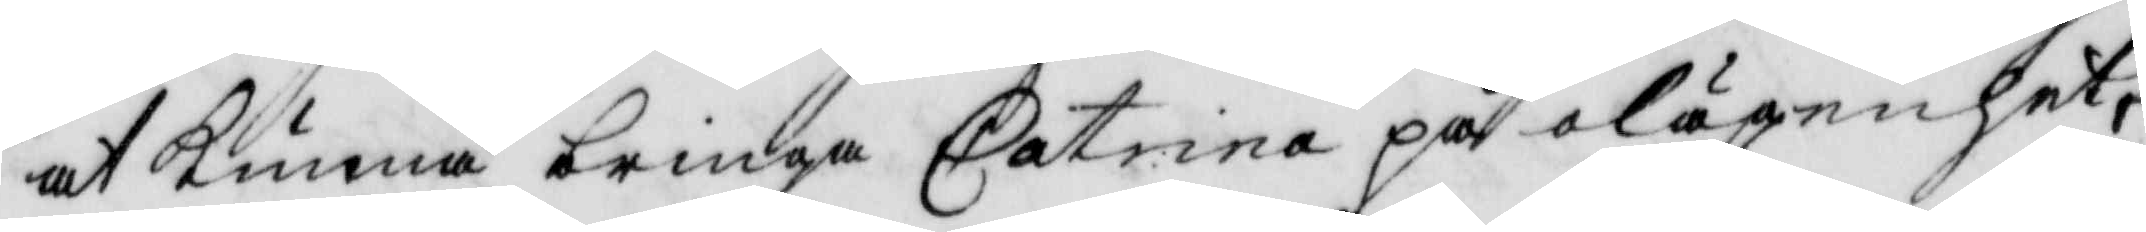at kunna bringa Catrina på olägenhet,
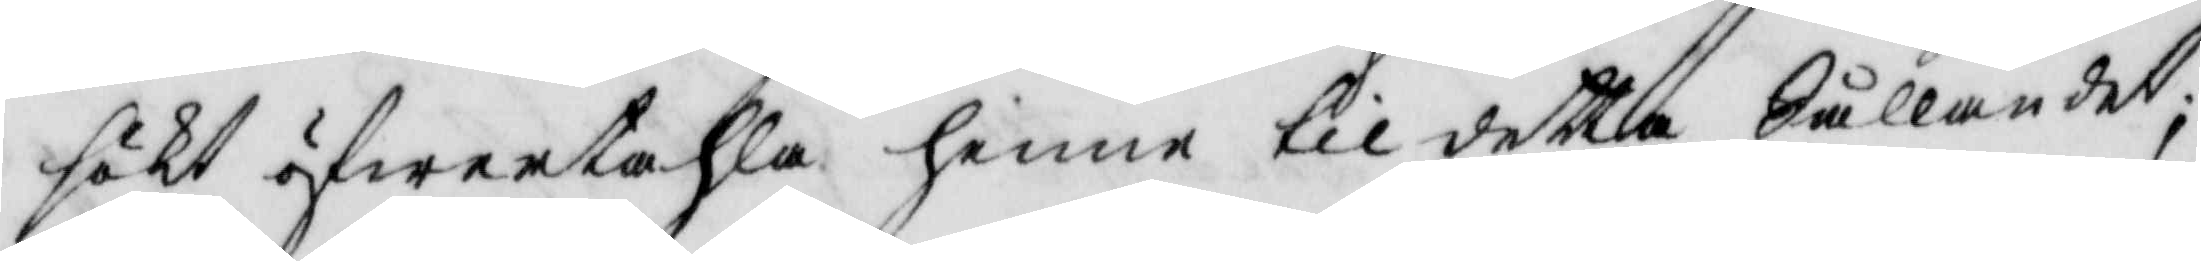sökt öfwertahla henne til detta Sållandet,
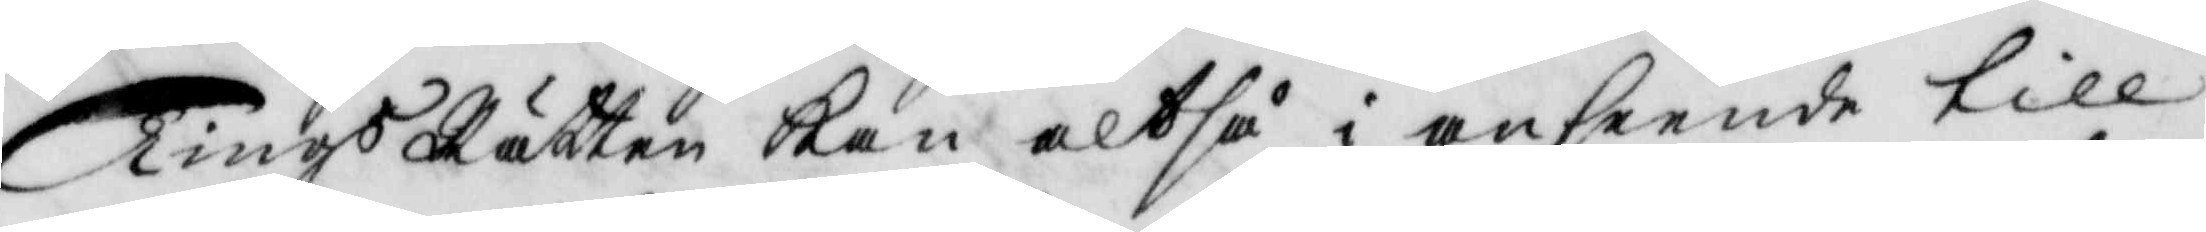Tings Rätten kan altså i anseende till
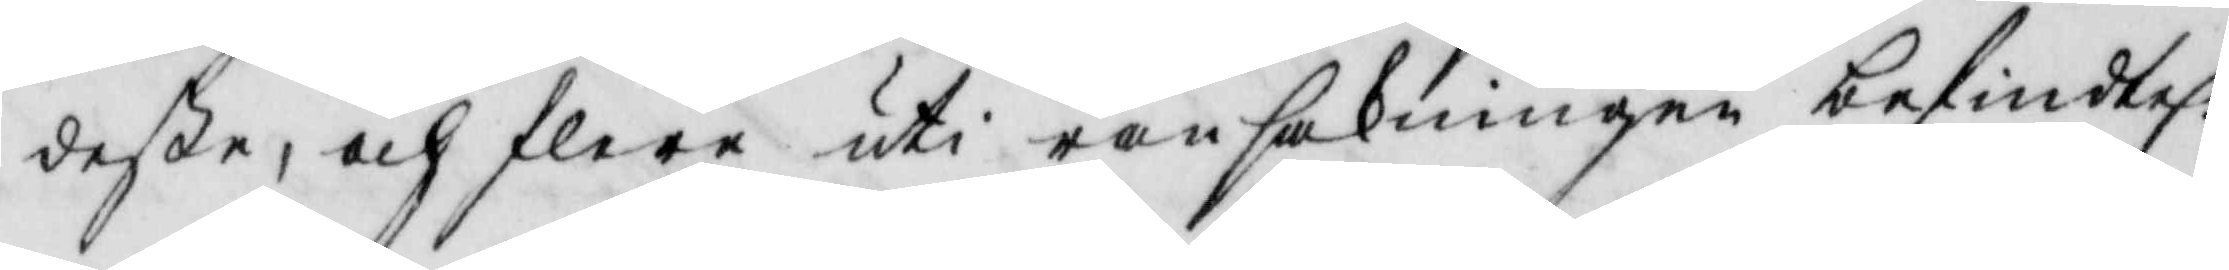deße, och flere uti ransakningen befindtel:
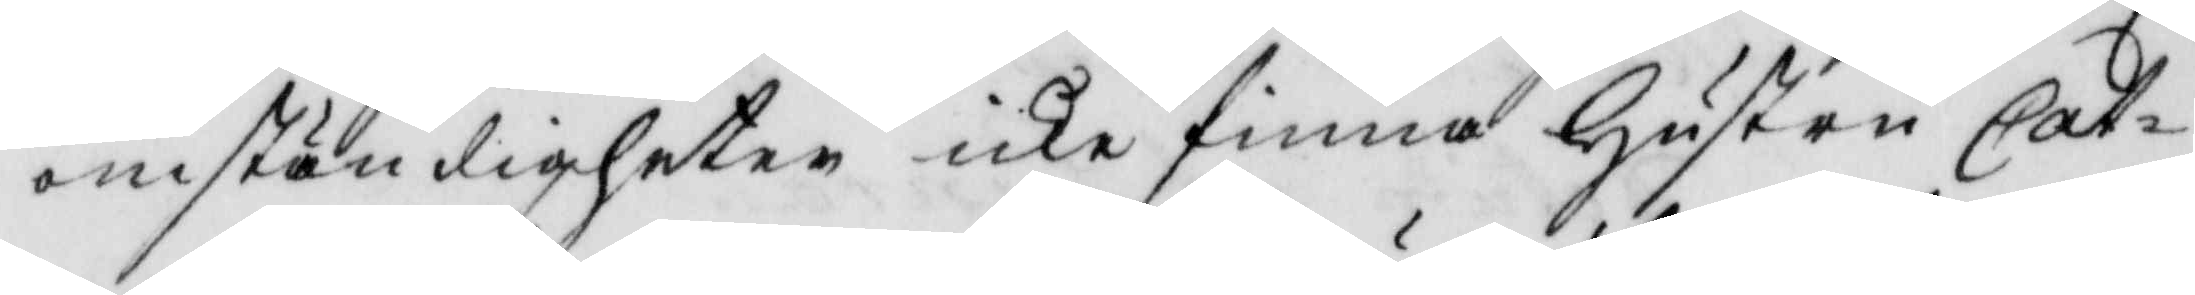omständigheter icke finna hustru Cat¬
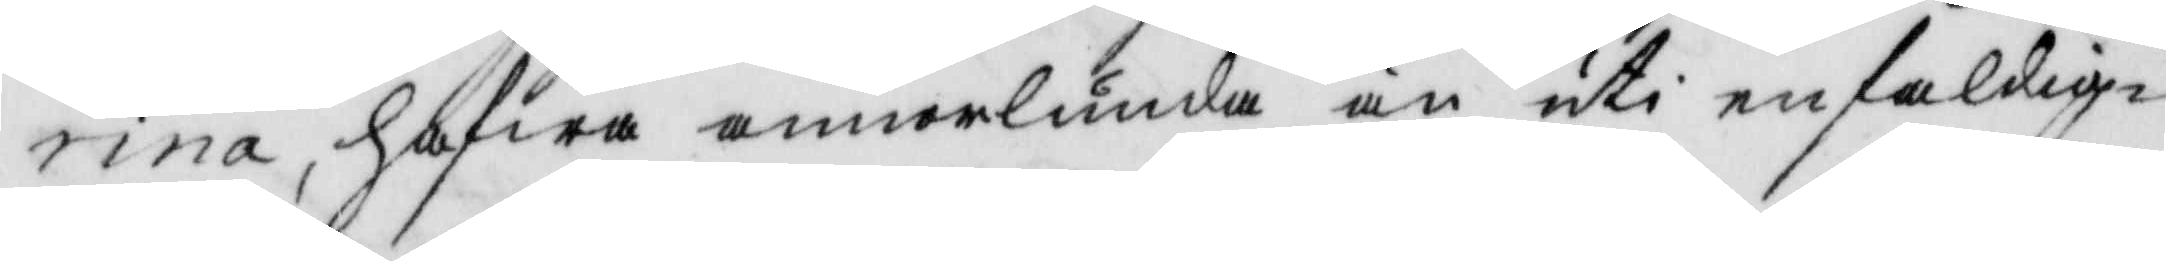rina, hafwa annorlunda än uti enfaldig¬
